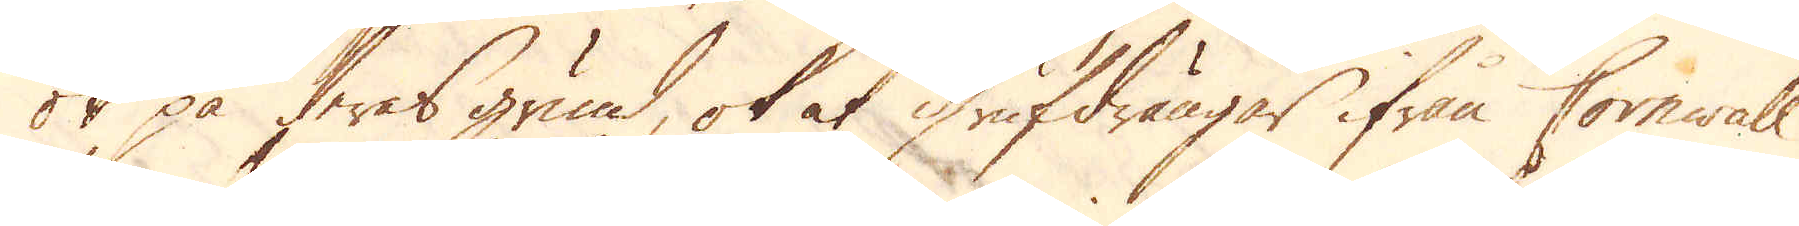ok på deras grund, ok at Grufdrängar ifrån Cornwall
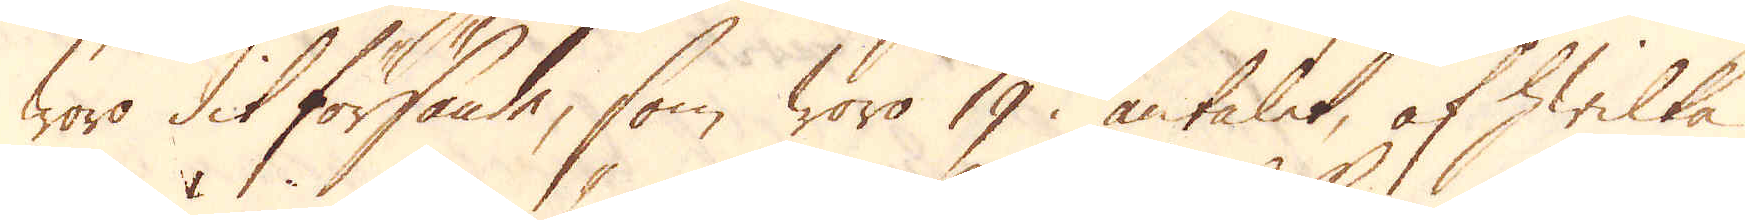woro dit försände, som woro 19 antalet, af hwilka
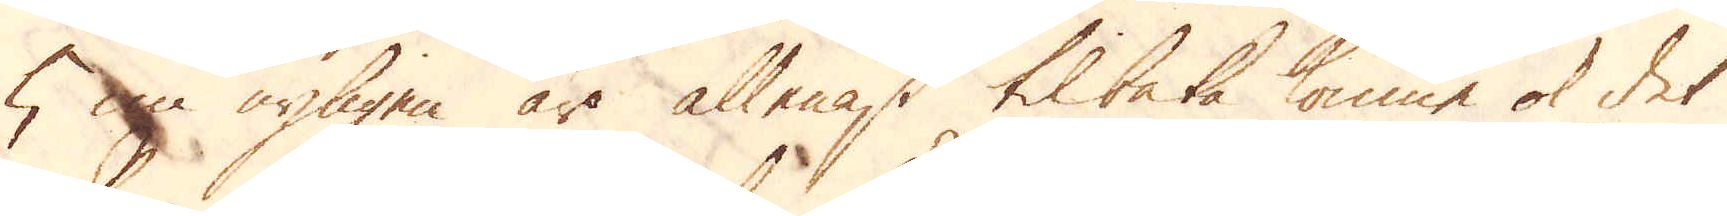5 nu nyligen äro allenast tilbaka komne ok det
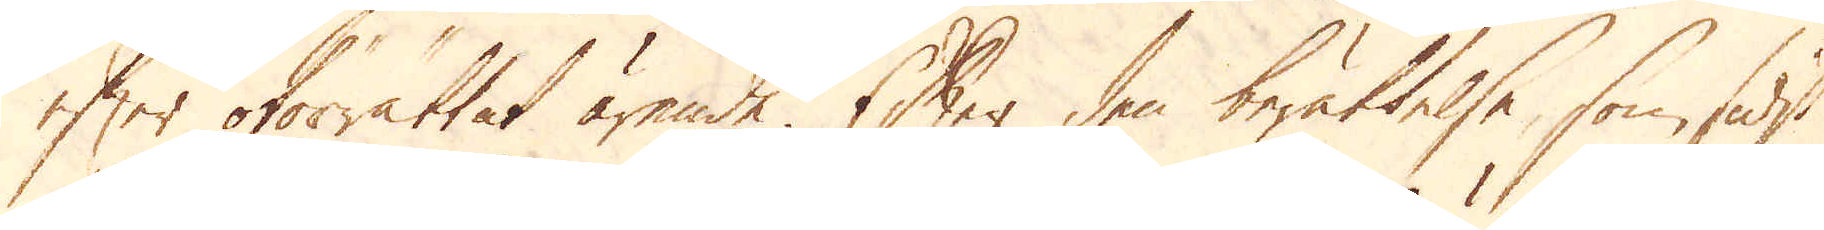efter oförrättat ärende. Efter den berättelse, som sidst
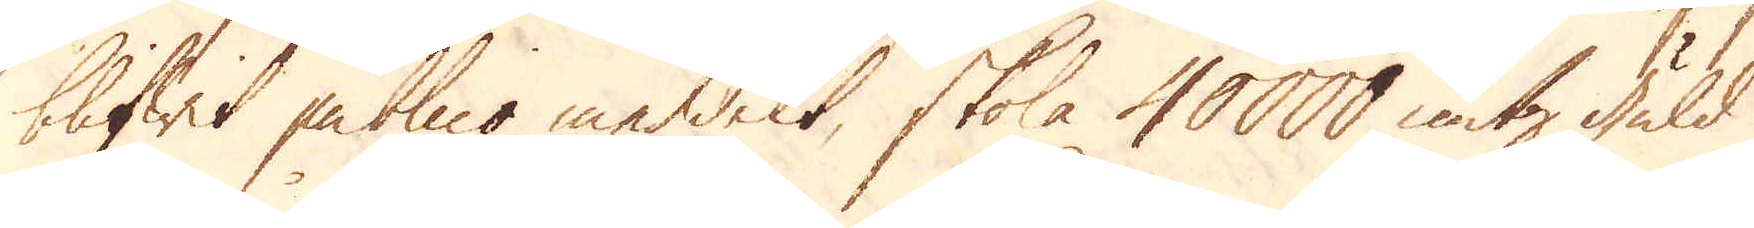blifwit publico meddelt, skola 40000 untz guld
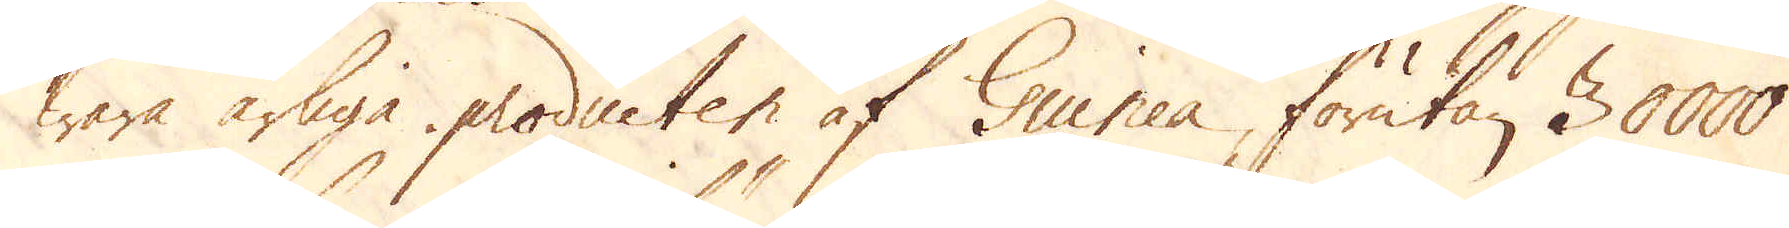wara årliga producten af Guinea, förutan 30000
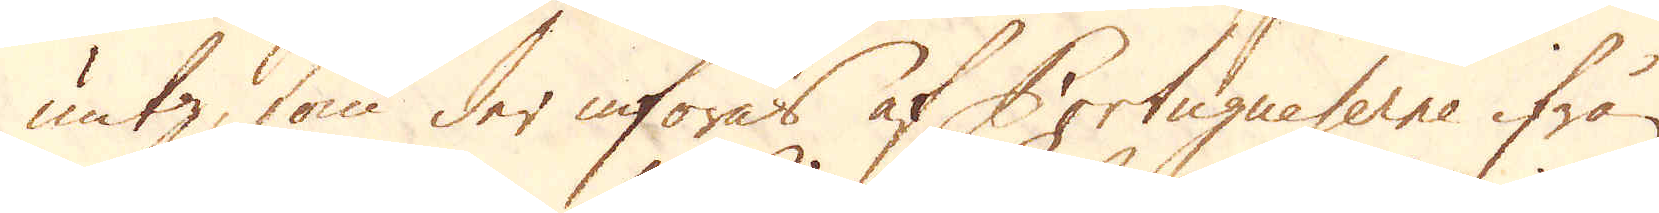untz, som der införas af Portugneserne ifrån
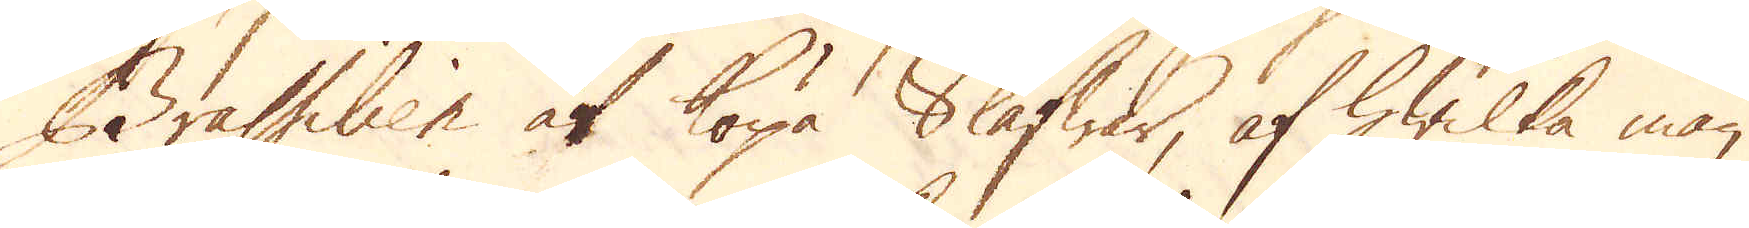Brassilien at köpa Slafwar, af hwilka man
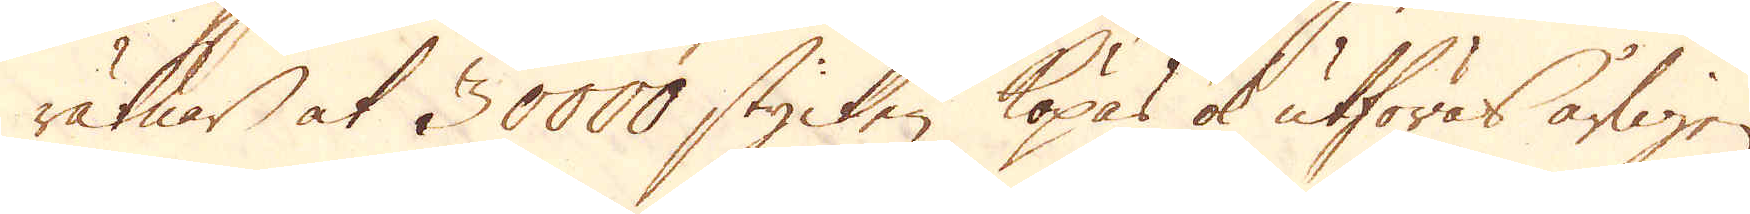räknar at 30000 stycken köpas ok utföras årligen
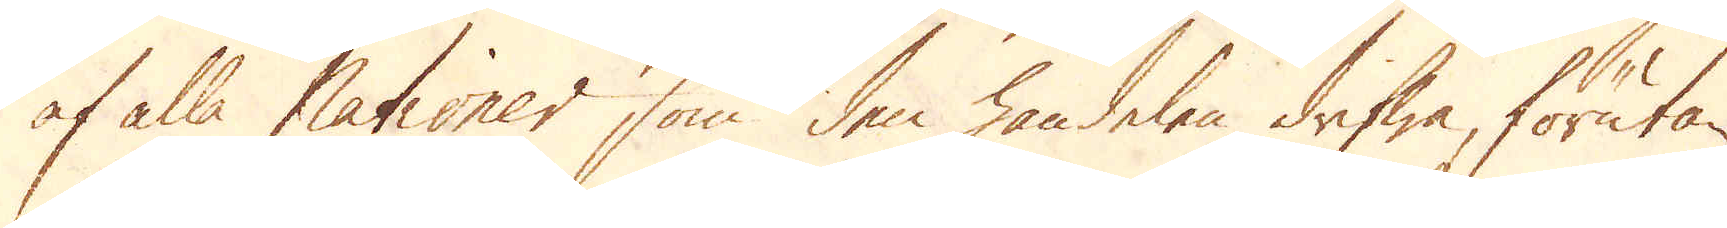af alla Nationer som den handelen drifwa, förutan
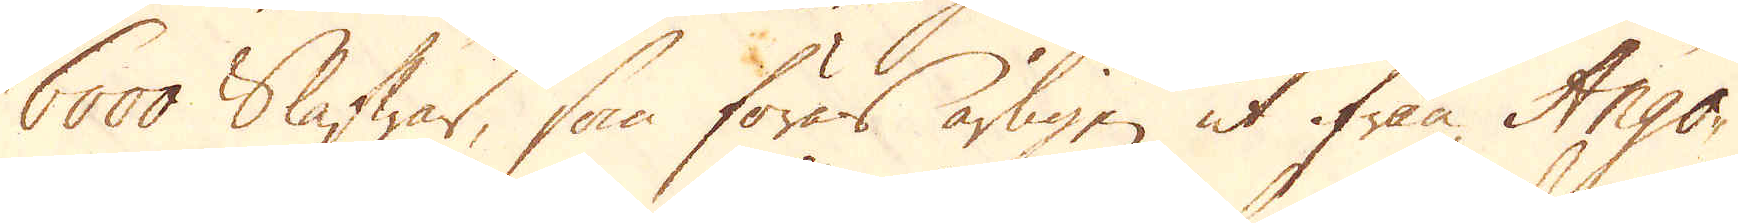6000 Slafwar, som föras årligen ut ifrån Ango-
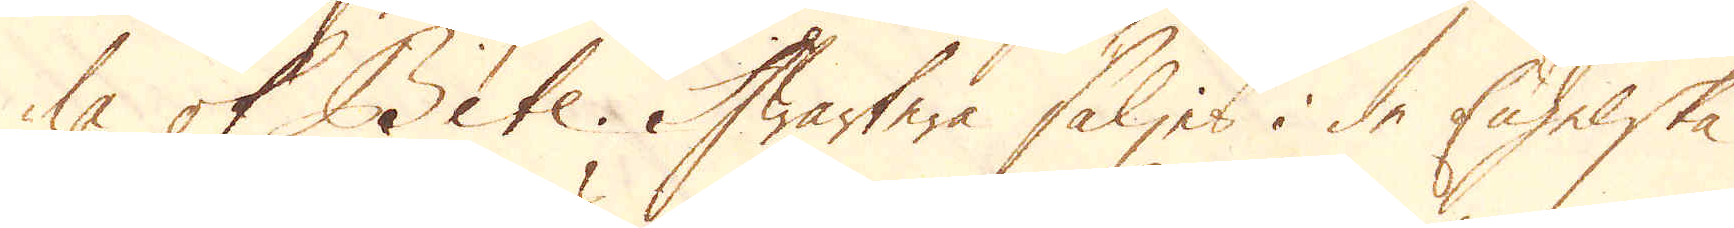la ok Bite. Hwartera säljes i de Engelske
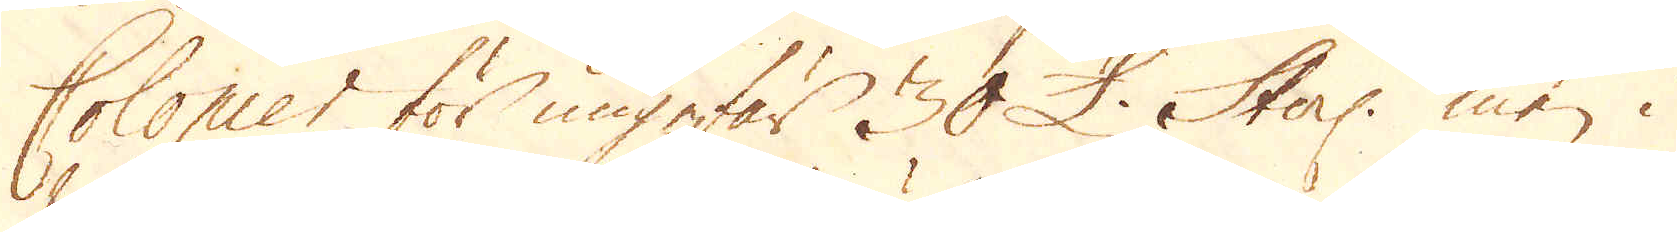Colonier för ungefär 30 £. Sterl: men i
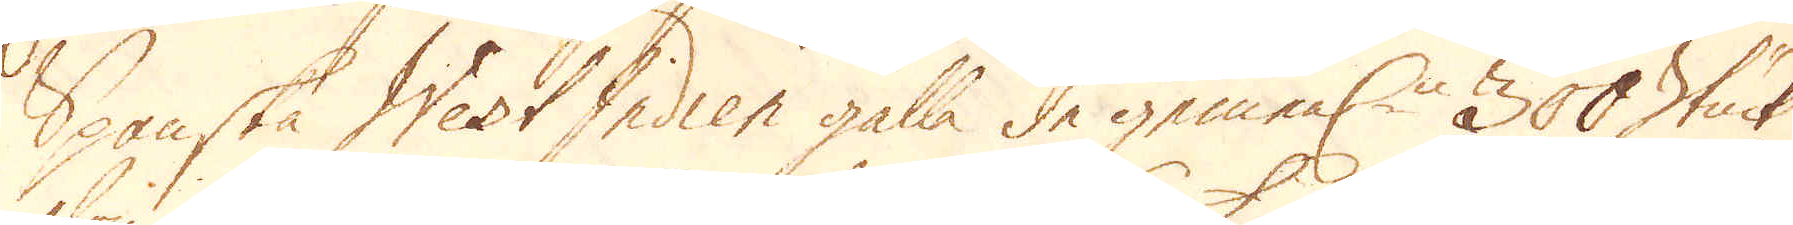Spanska West Indien gälla de gemenl:n 300 Stück
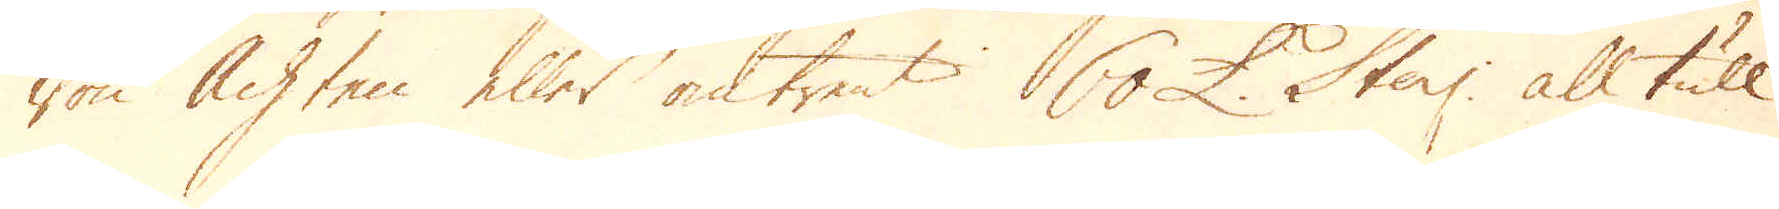Von Achten eller omtrent 60 £. Sterl: all tull
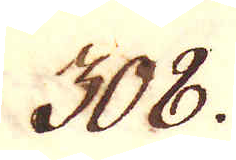308.
